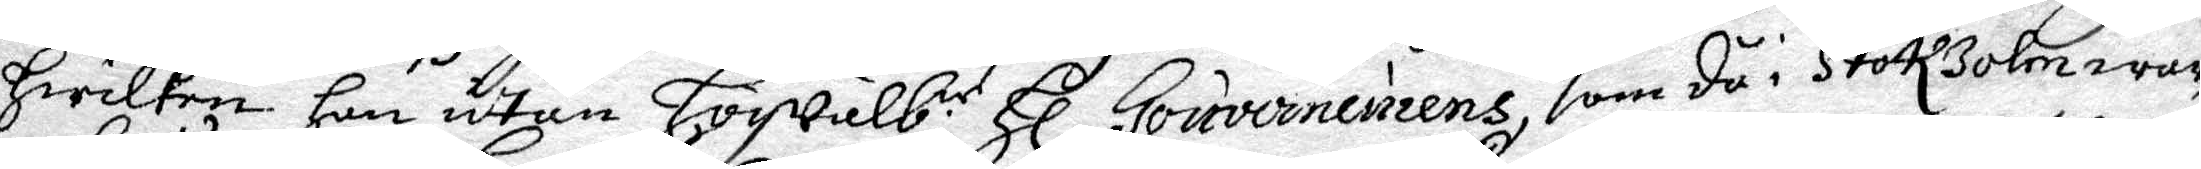hwilken han utan Högwälb:e Hl Gouvernerens, som då i Stockholm war
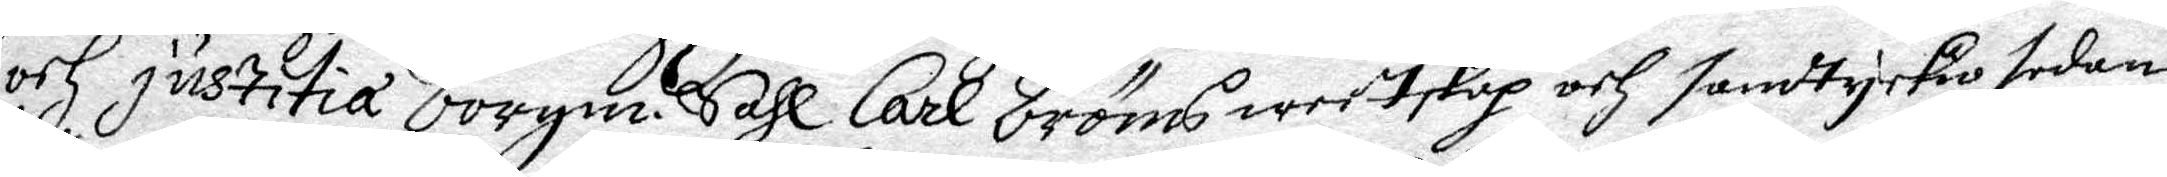och justitia borgm. Sahl Carl Bröms weetskap och samdtyckio sedan
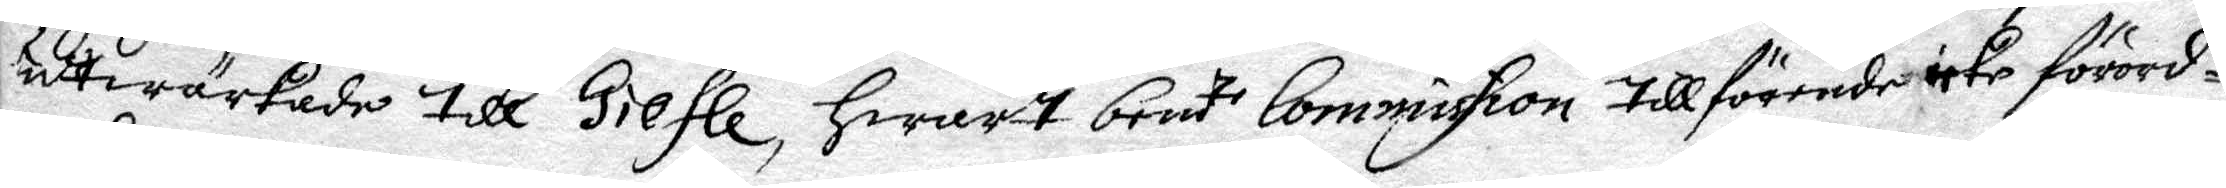uttwärkade till Giefle, hwart bem:te Commission tillförende icke förord¬
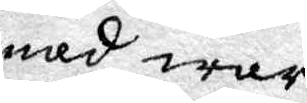nad war.
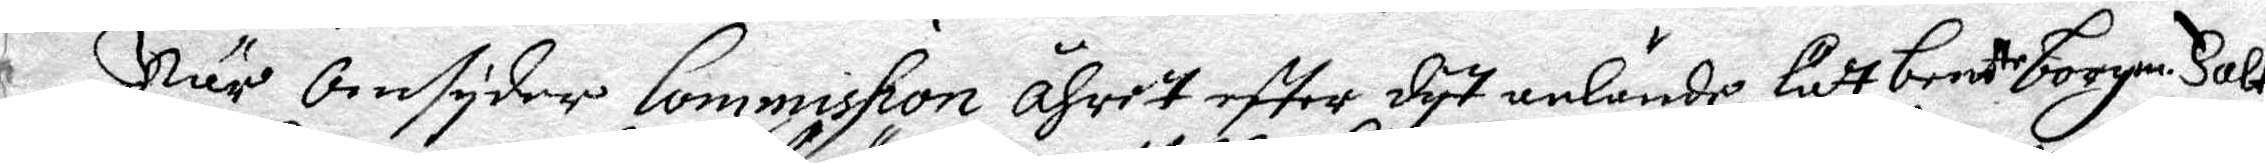När omsyder Commission åhret effter dyt anlände, lätt bem.de borgm. Falk
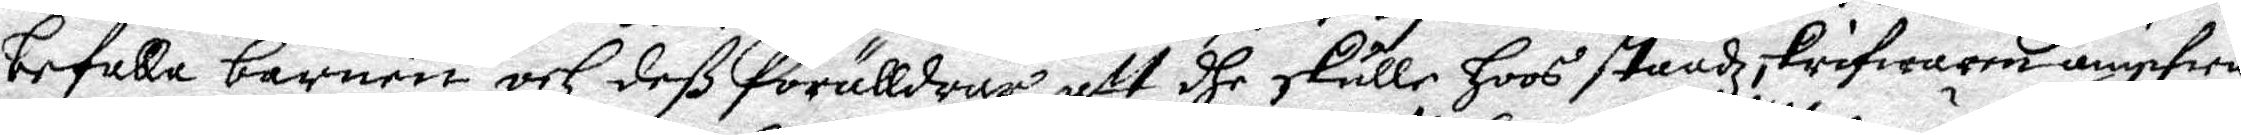befalla barnen och deß förälldrar att dhe skulle hoos staadzskrifwaren angifwa
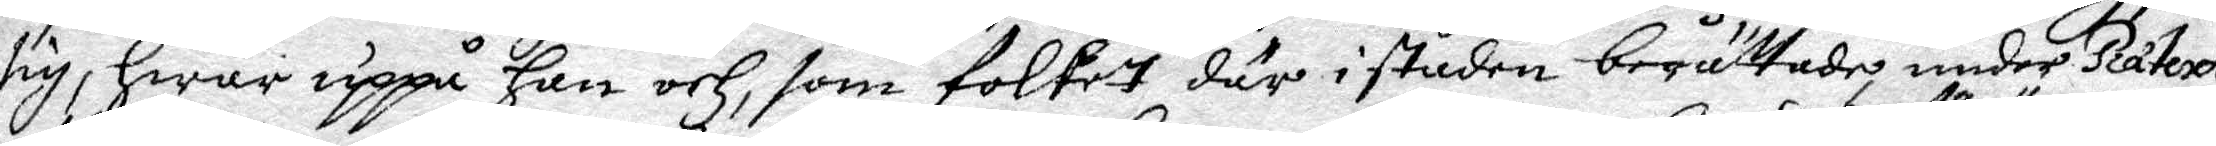sig, hwar uppå han och, som folket där i staden berättade under Råtext
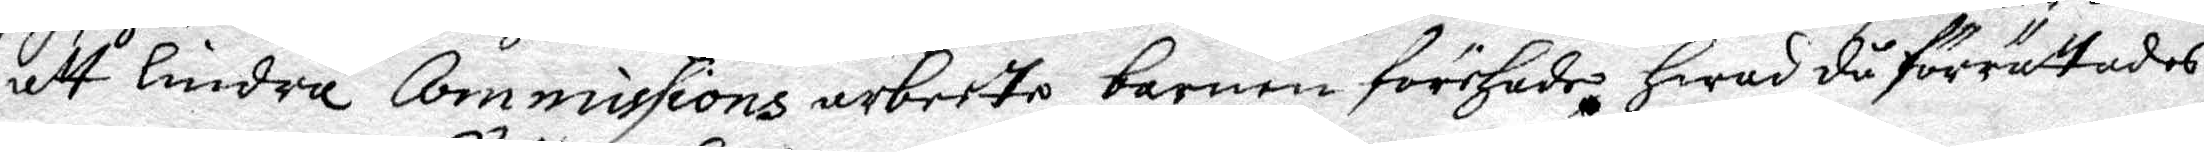att lindra Commissions arbette barnen förehade, hwar då förrättades
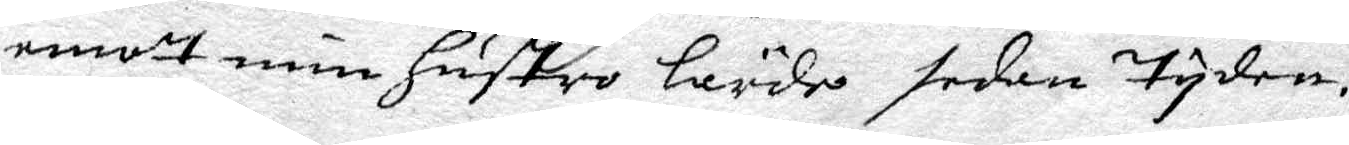emott min hustro lärde sedan tyden.
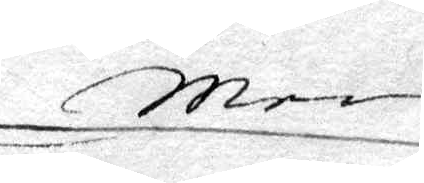Men
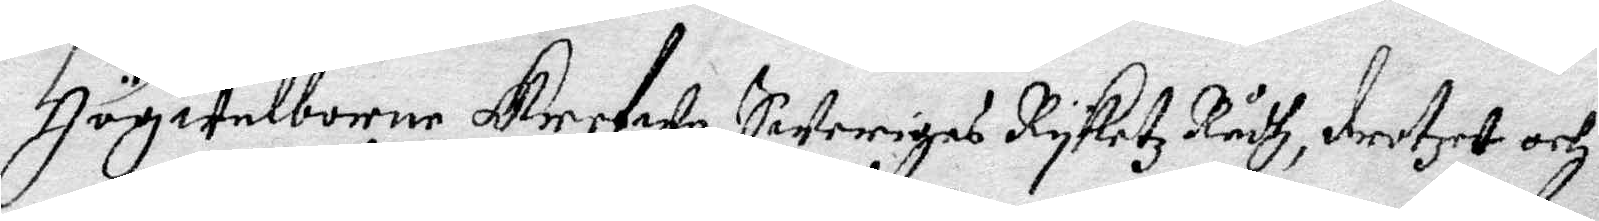Högwelborne Grefwe Sweriges Ryketz Rådh, drotzet och
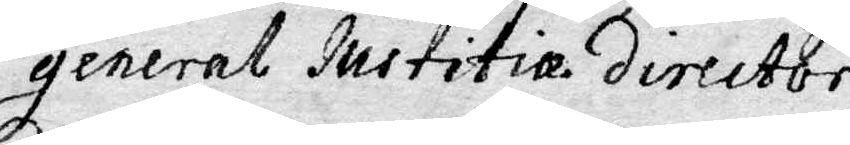general Justitia director,
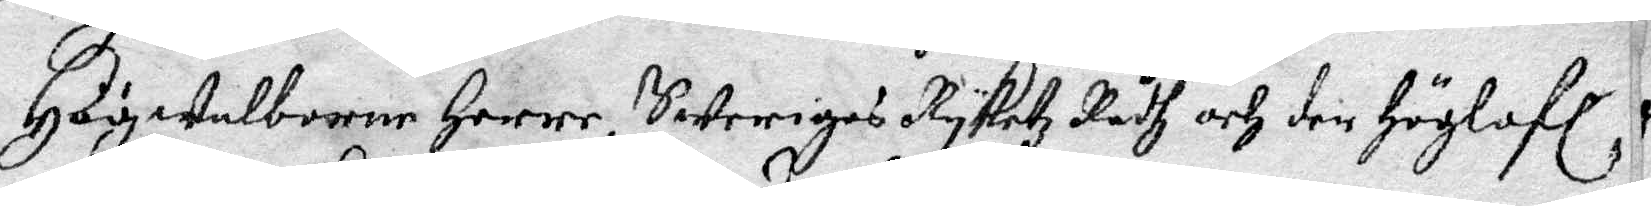Högweöborne Herre, Sweriges Ryketz Rådh och den Höglofl,
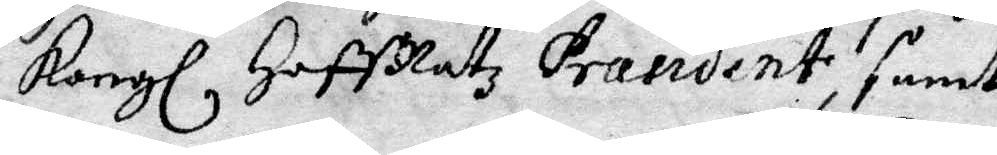Kongl HoffRetz Prasident, samt
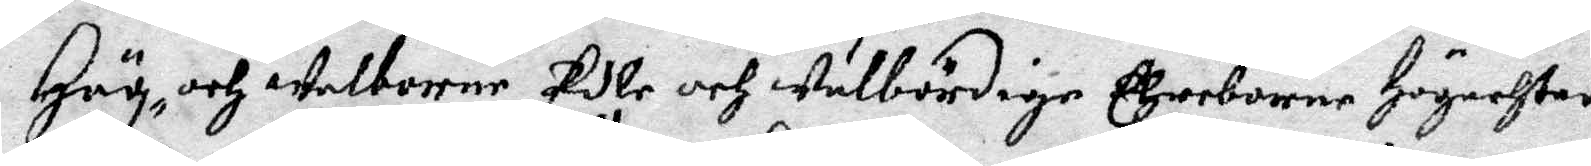Hög- och Welborne, Edle och Wulbördige Ehreborne Högachrade
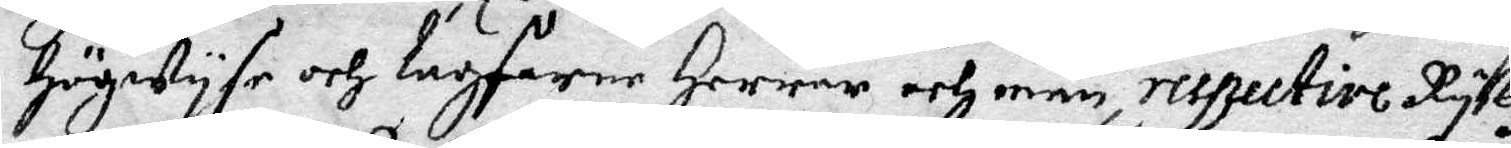Högwyse och lagfarne Herrar och män, respective Rykz
